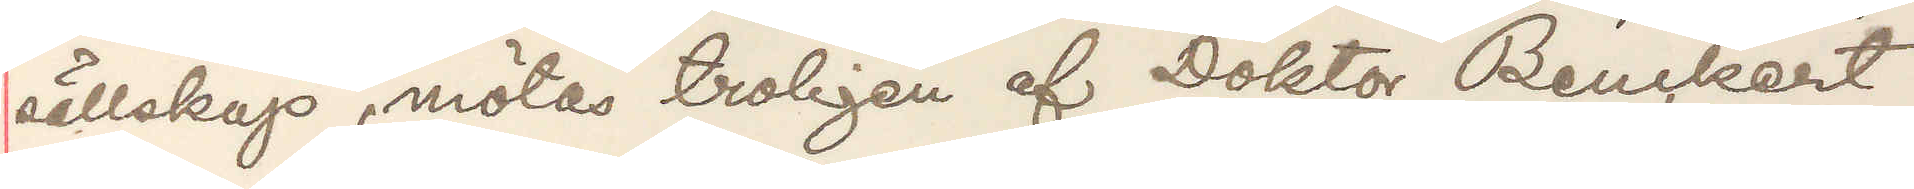sällskap, mötas troligen af Doktor Benckert
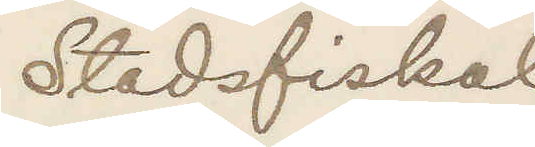Stadsfiskal
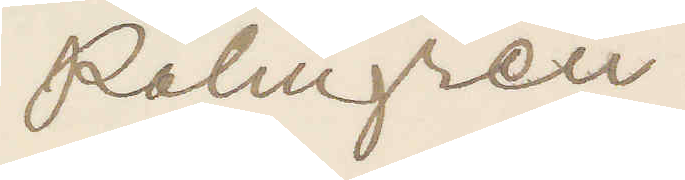Palmgren.
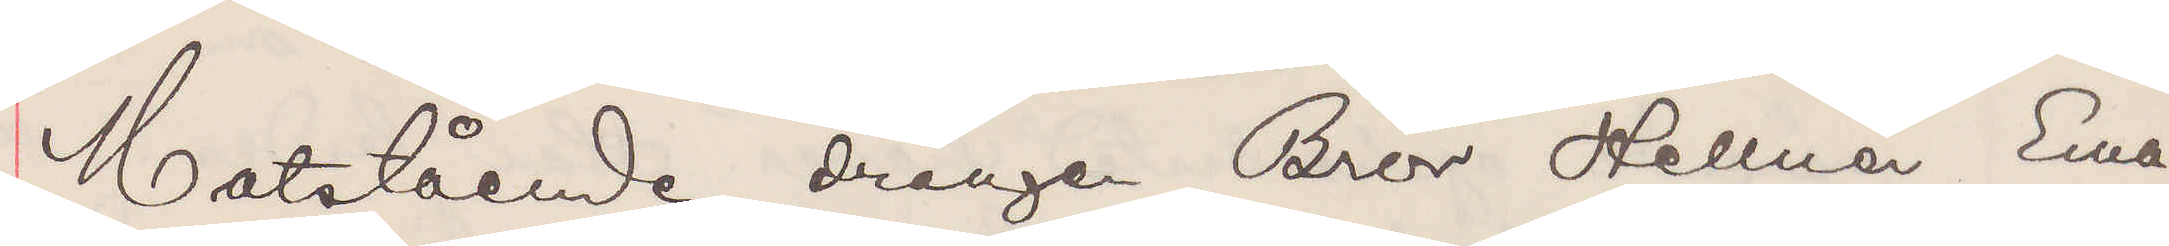Motstående drängen Bror Hellner Ema¬
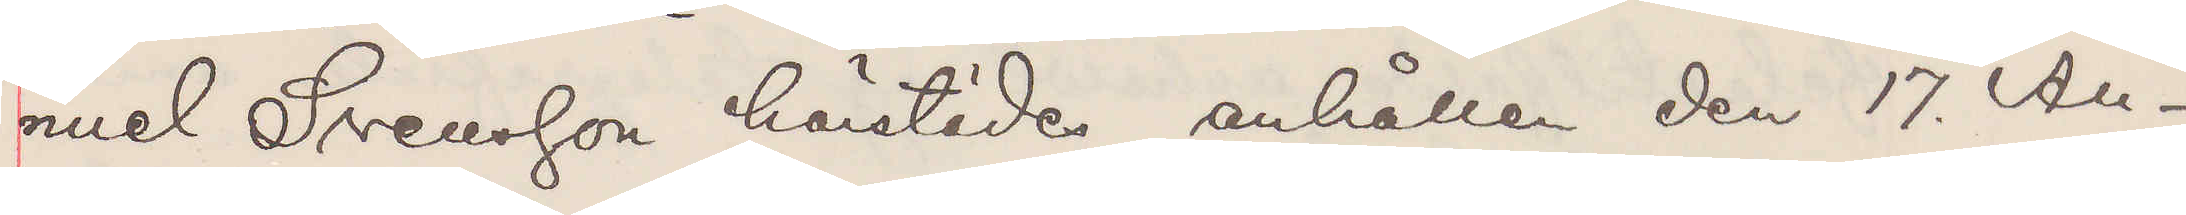nuel Svensson härstädes anhållen den 17. Au¬
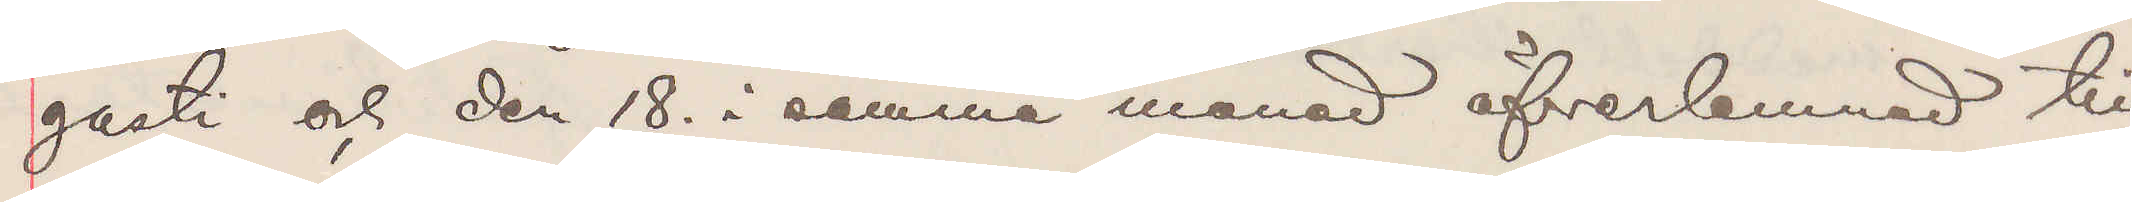gusti och den 18. i samma månad öfverlemnad till
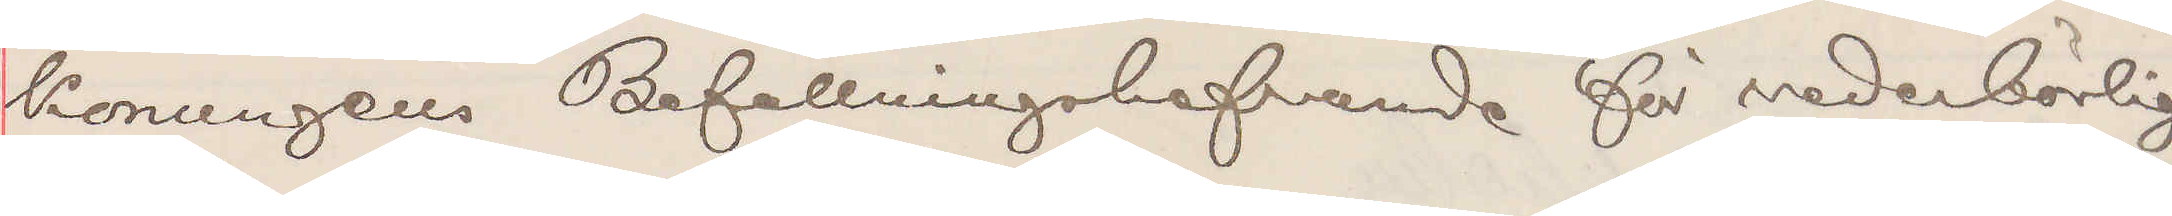Konungens Befallningshafvande för vederbörlig
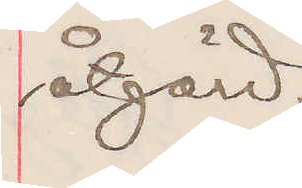åtgärd.
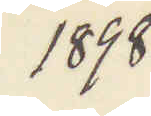1898
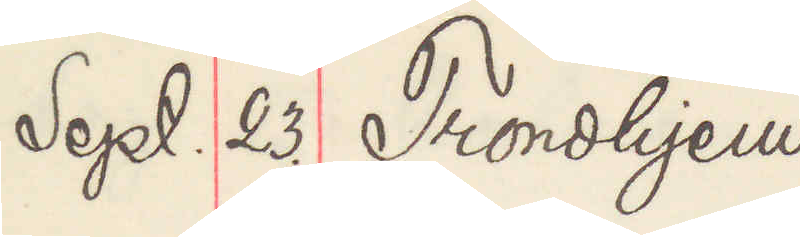Sept. 23. Trondhjem
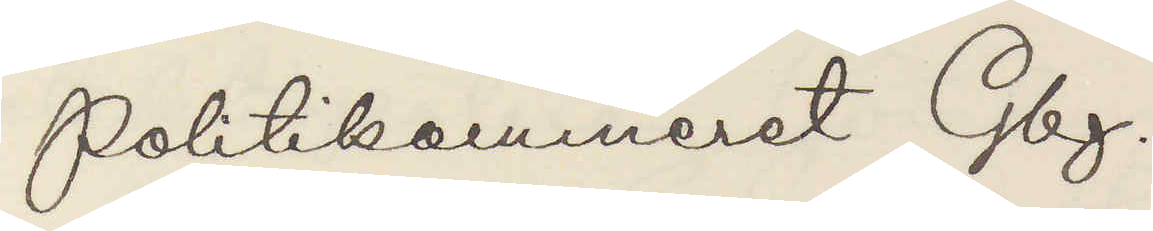Politikammeret Gbg.
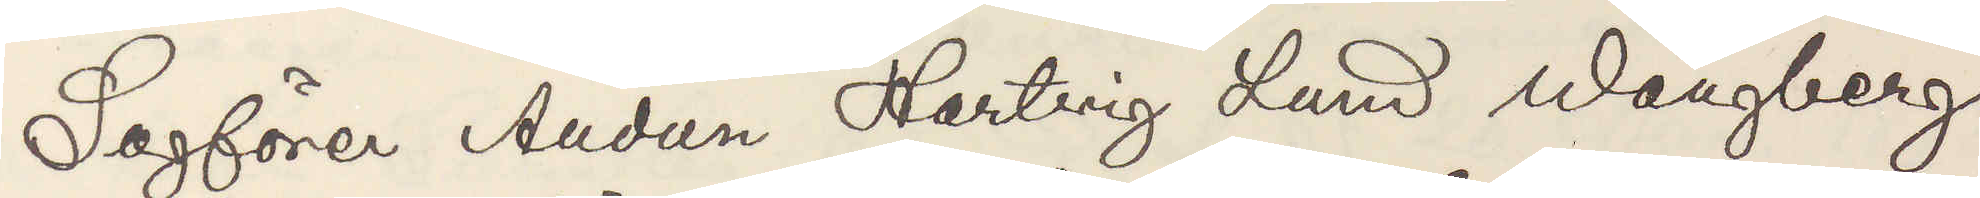Sagförer Audun Hartvig Lund Wangberg,
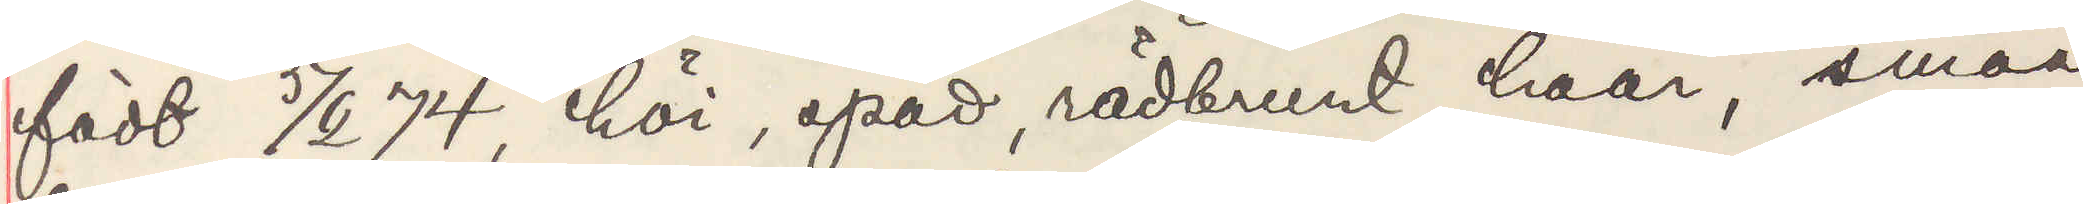född 5/6 74, höi, späd, rödbrunt haar, smaa
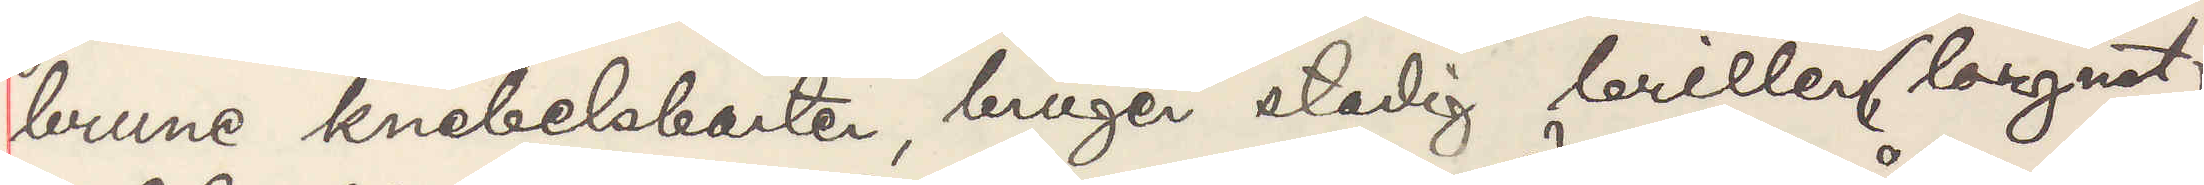brune knebelsbarten, bruger stadig briller (lorgnet)
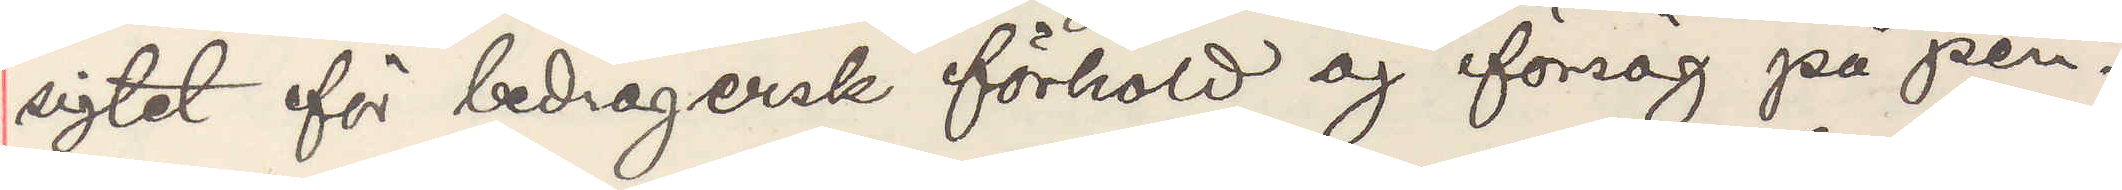sigtet för bedragersk förhold og försög på pen¬
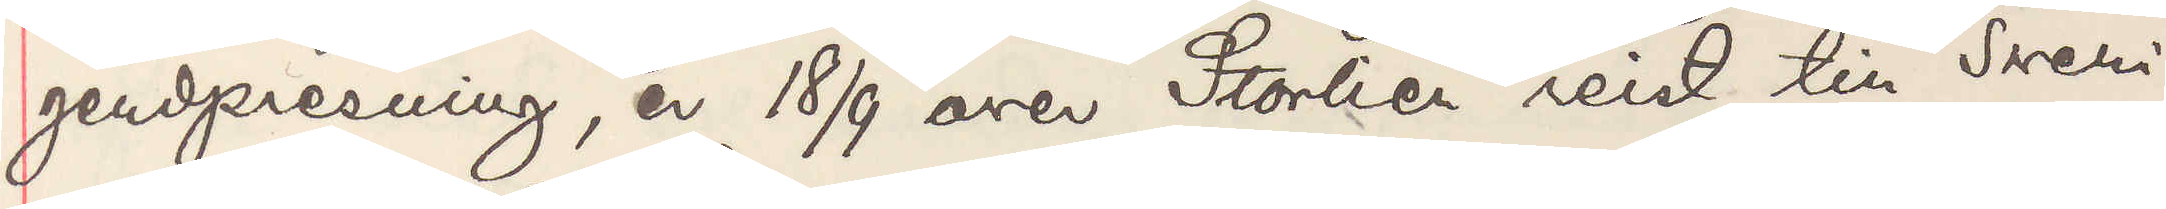geudpresening, er 18/9 over Storlien reist til Sveri¬
